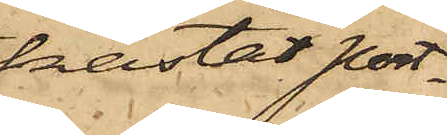kastat port¬
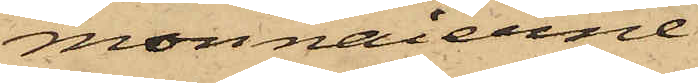monnaierne
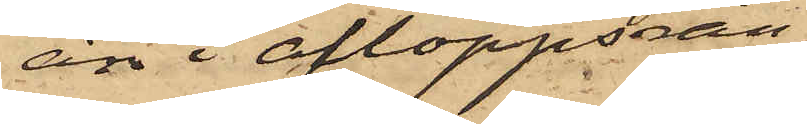än i afloppsrän¬
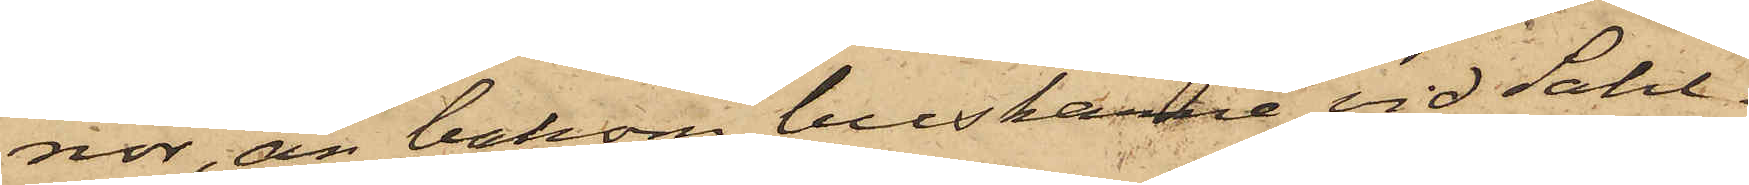nor, än bakom buskarne vid Sahl¬
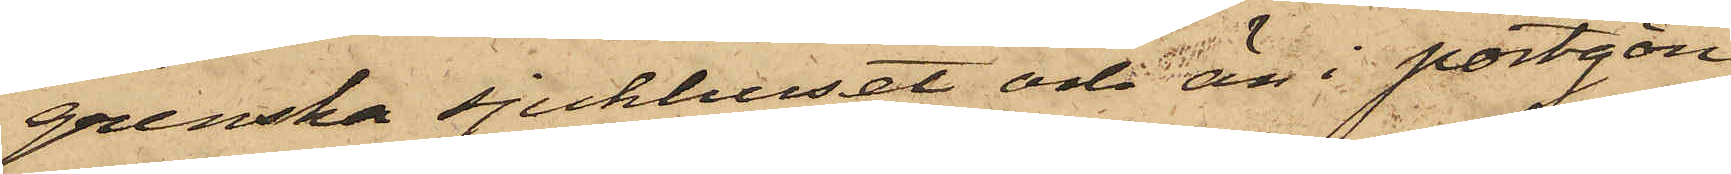grenska sjukhuset och än i portgån¬
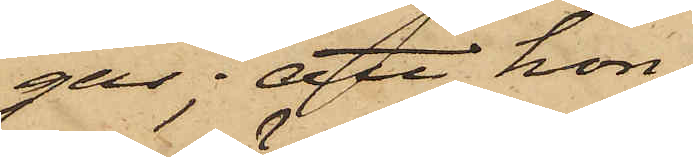gar; att hon,
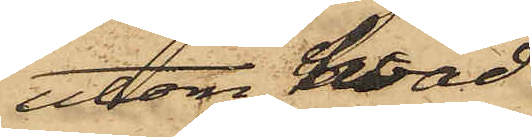utom hvad
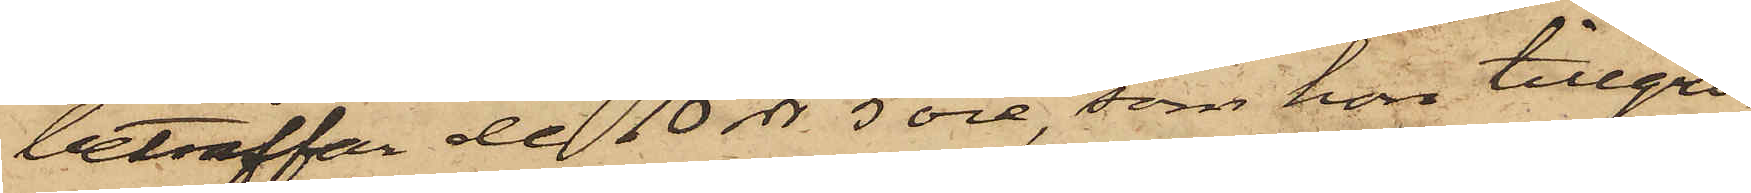beträffat de 10 rdr 5 öre, som hon tillgri¬
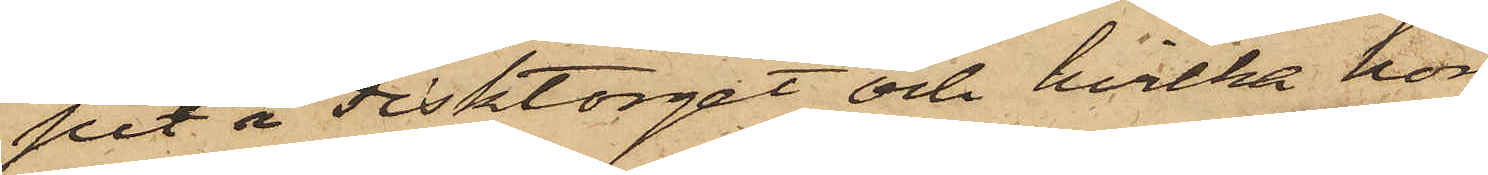pet å Fisktorget och hvilka hon
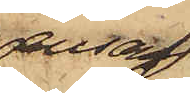ensam
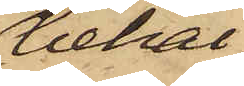behål¬
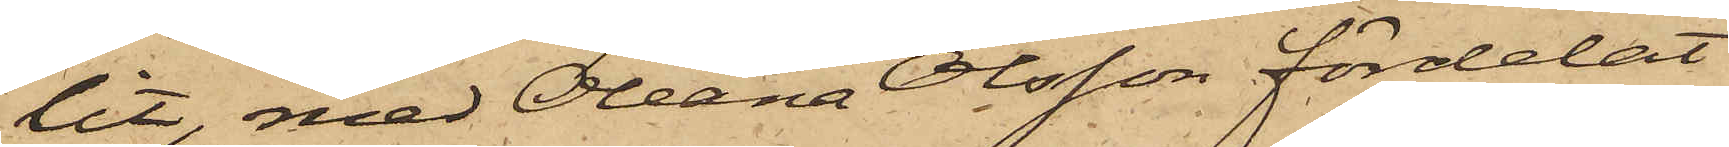lit, med Oleana Olsson fördelat
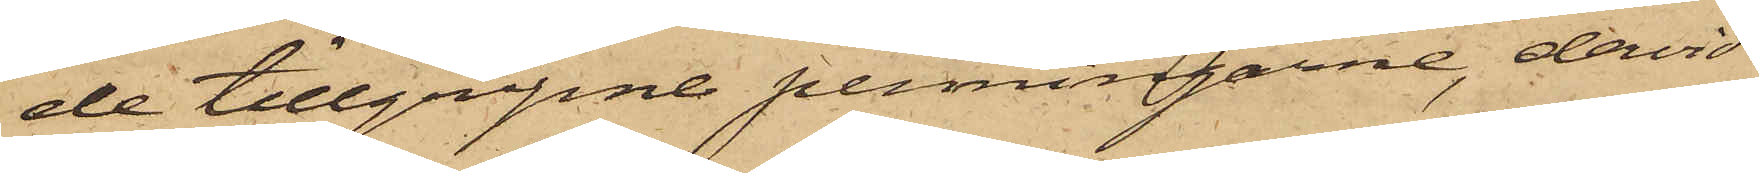de tillgripne penningarne, dervid
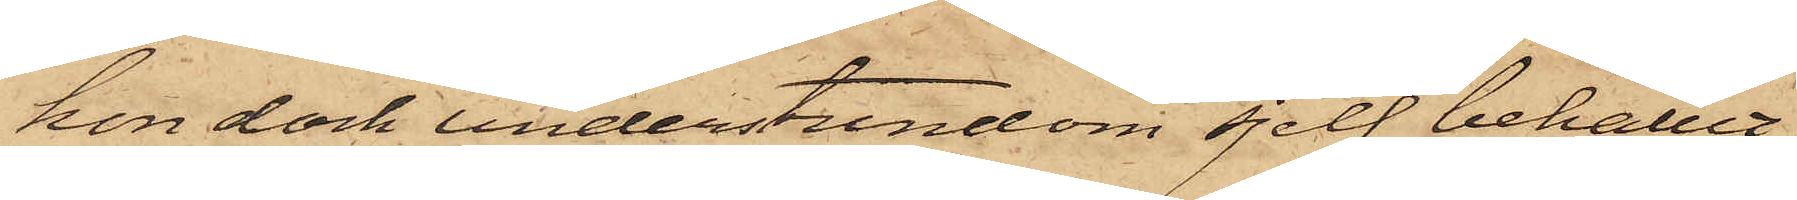hon dock understundom sjelf behållit
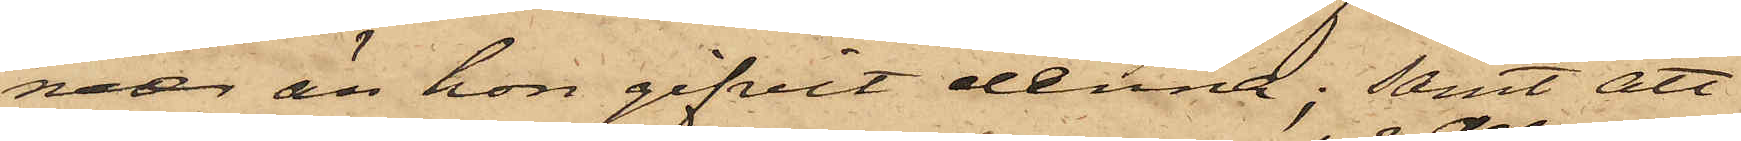mer än hon gifvit denna; samt att
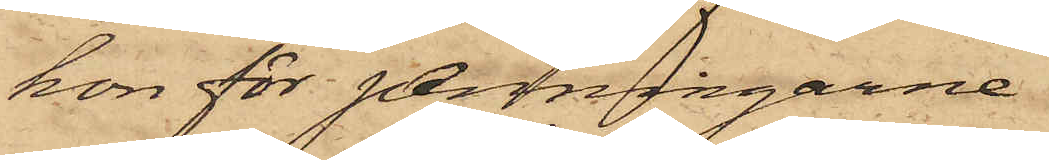hon för penningarne
